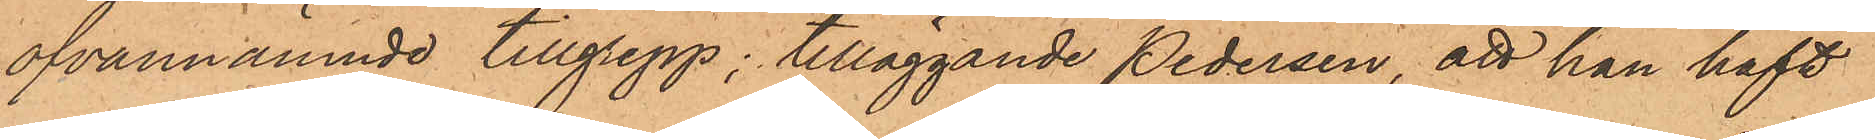ofvannämnde tillgrepp; tilläggande Pedersen, att han haft
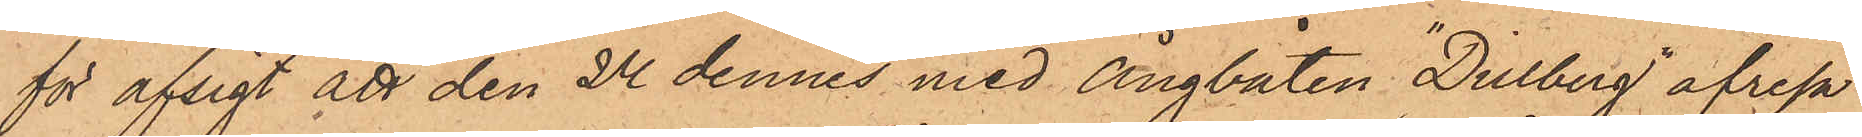för afsigt att den 24 dennes med ångbåten "Dillberg" afresa
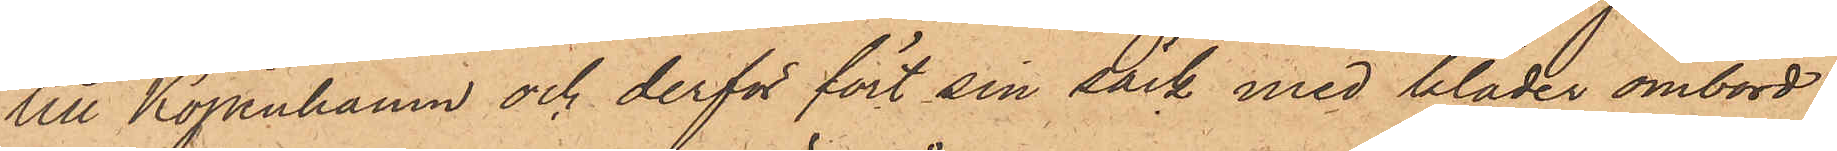till Köpenhamn och derför fört sin säck med kläder ombord
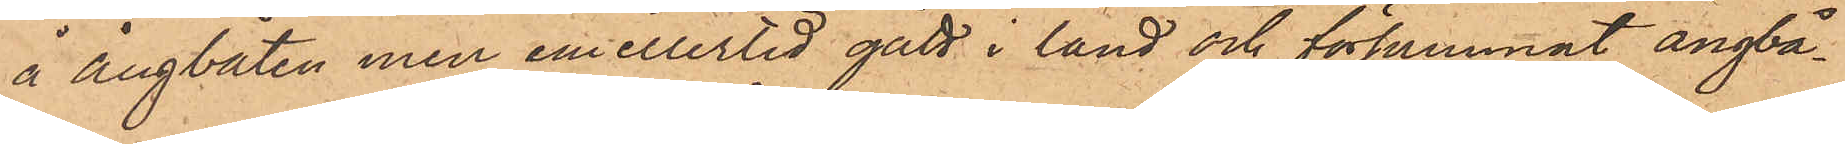å ångbåten men emellertid gått i land och försummat ångbå¬
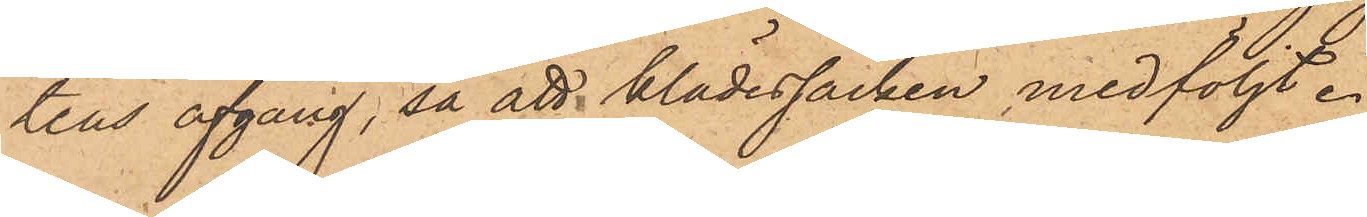tens afgång, så att klädessäcken medföljt.
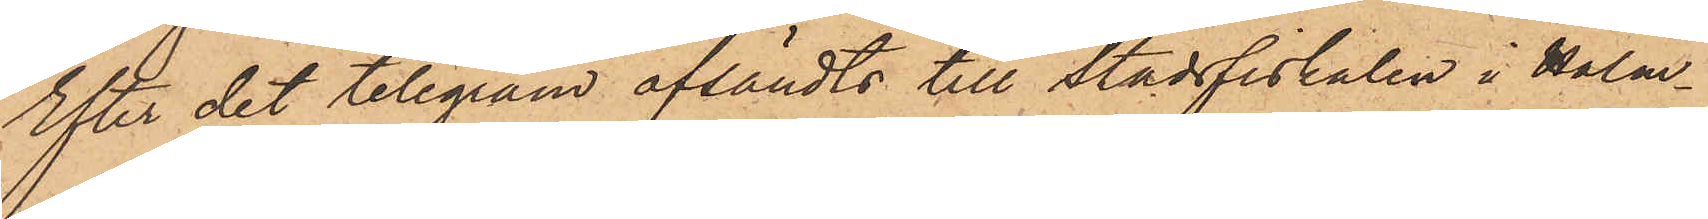Efter det telegram afsändts till Stadsfiskalen i Halm¬
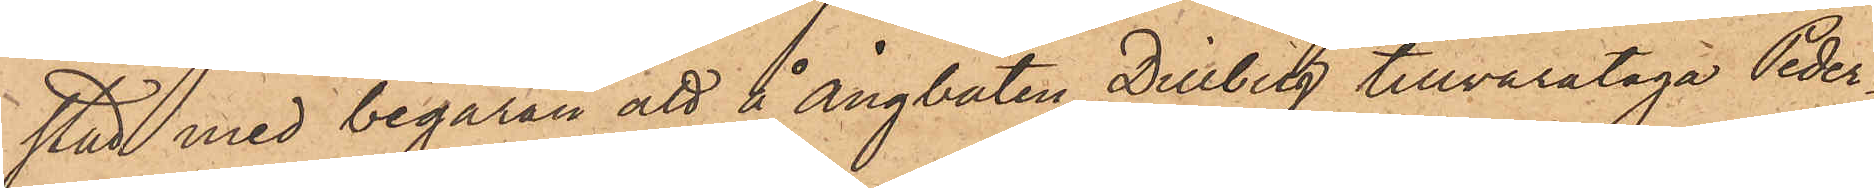stad med begäran att å ångbåten Dillberg tillvarataga Peder¬
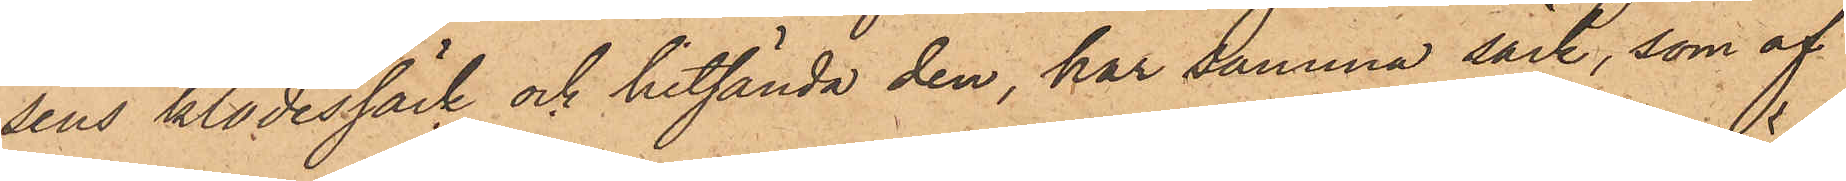sens klädessäck och hitsända den, har samma säck, som af
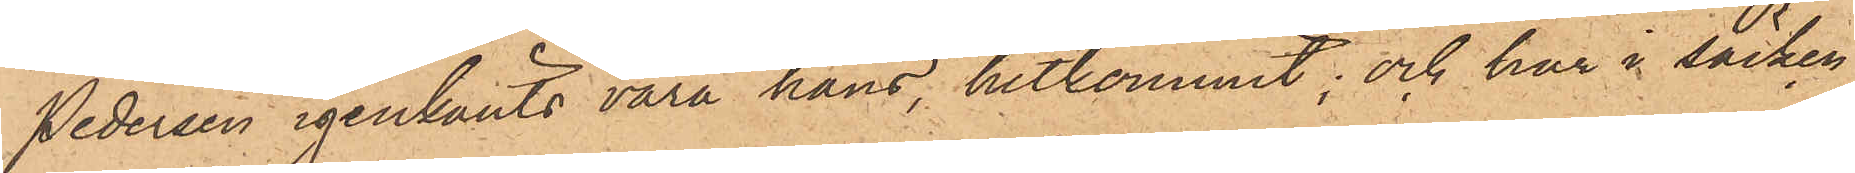Pedersen igenkänts vara hans, hitkommit; och har i säcken
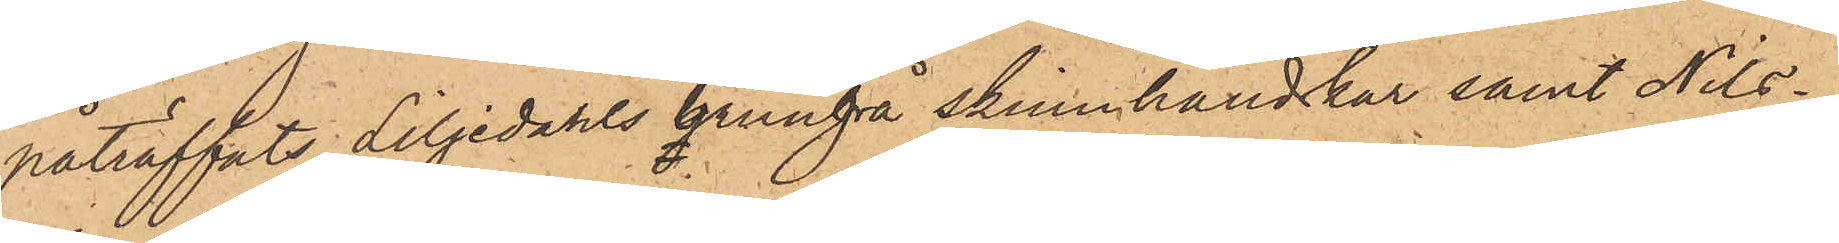påträffats Liljedahls brungrå skinnhandskar samt Nils¬
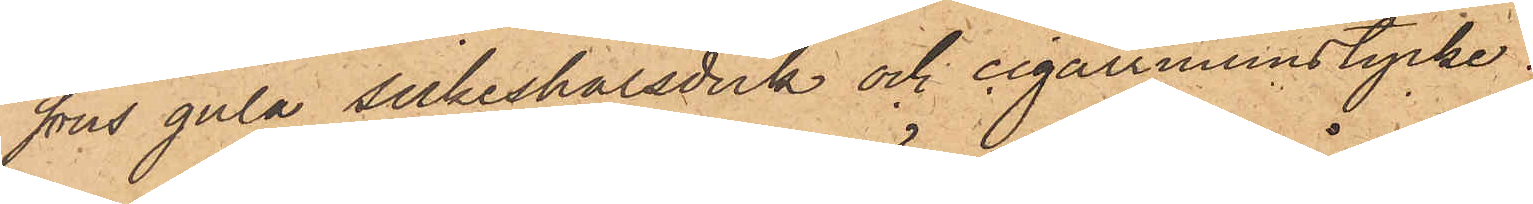sons gula silkeshalsduk och cigarrmunstycke.
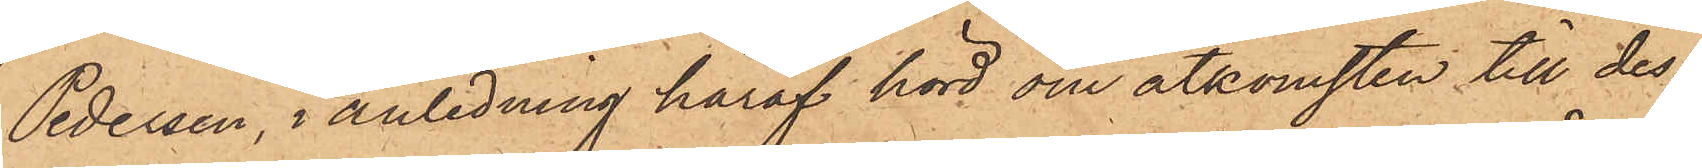Pedersen, i anledning häraf hörd om åtkomsten till des¬
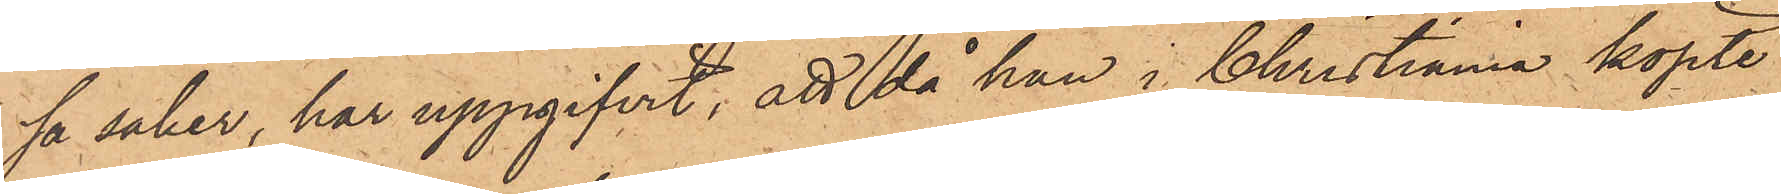sa saker, har uppgifvit, att då han i Christiania köpte
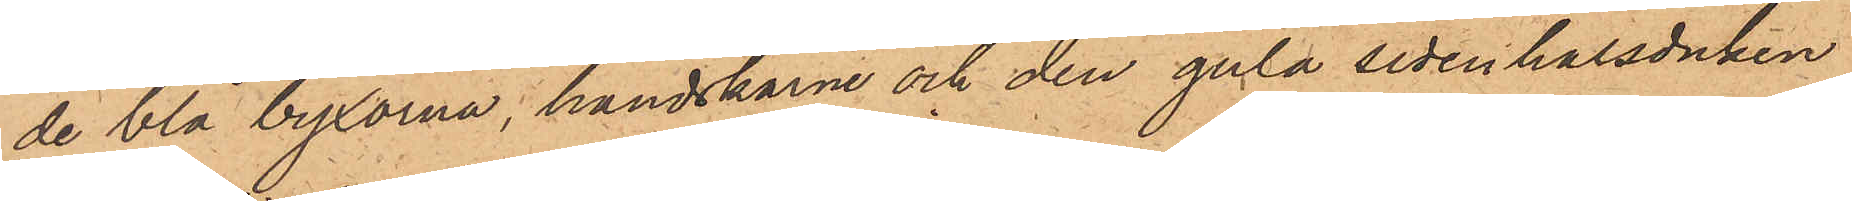de blå byxorna, handskarne och den gula sidenhalsduken
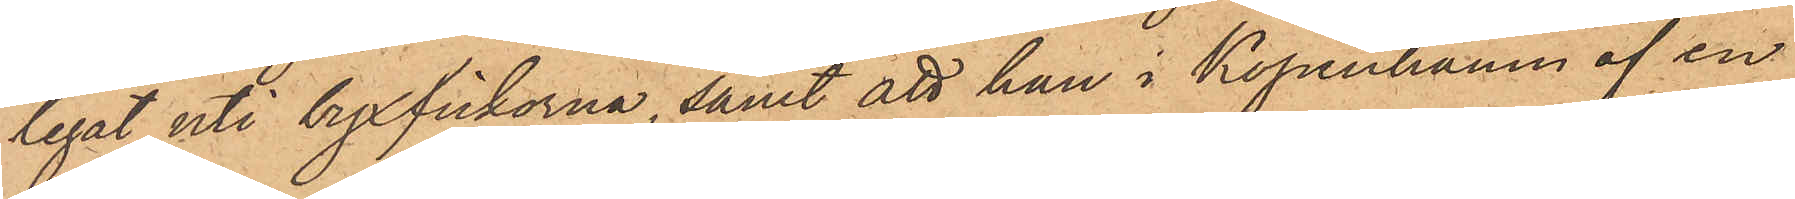legat uti byxfickorna, samt att han i Köpenhamn af en
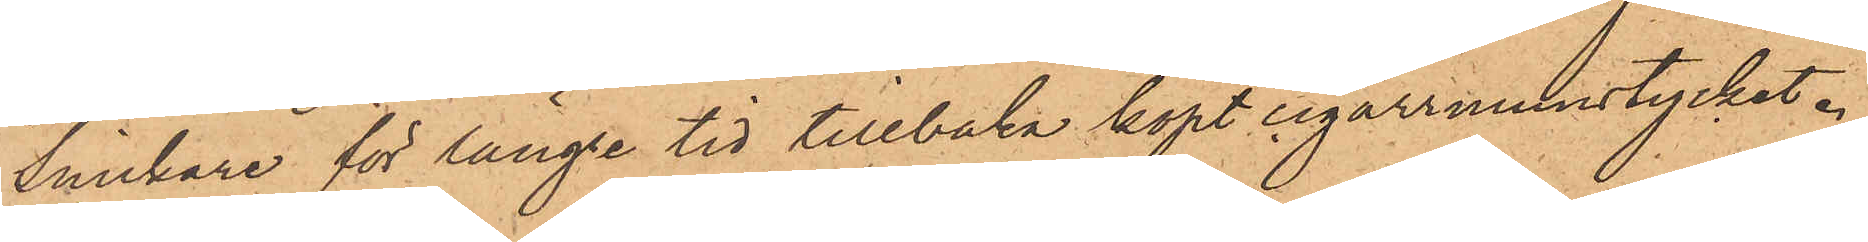Snickare för längre tid tillbaka köpt cigarrmunstycket.
